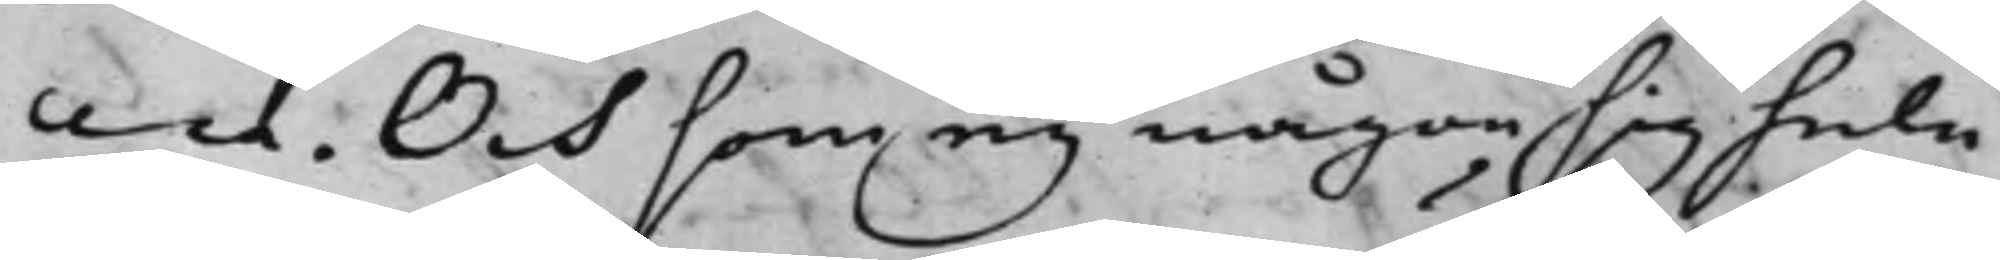cera. Och som eij någon sig hela
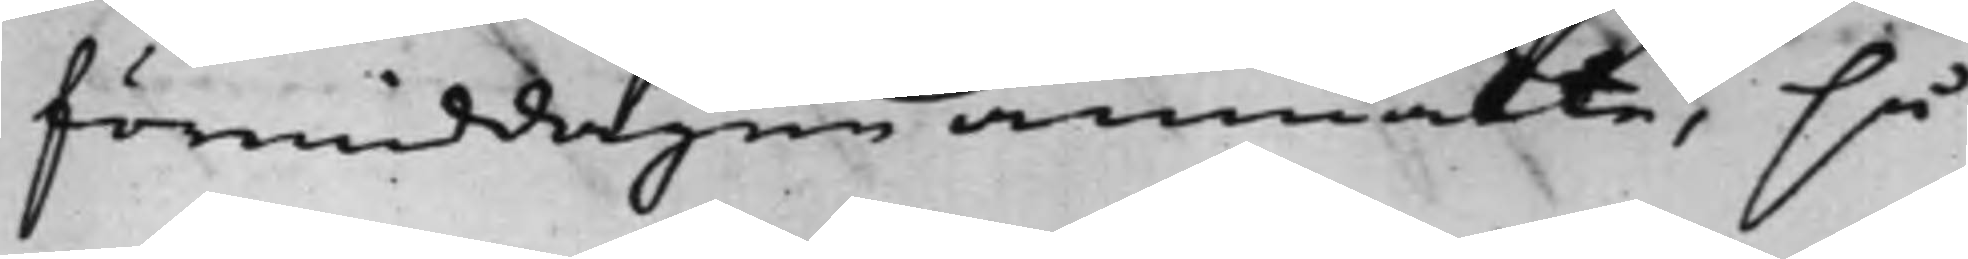förmiddagen anmälte, så
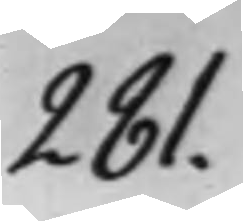281.
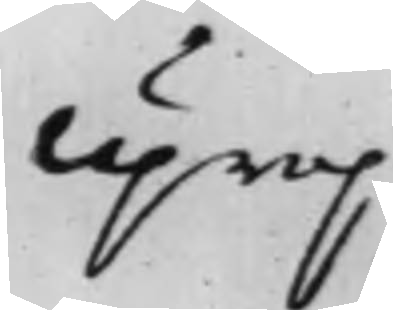Uprop
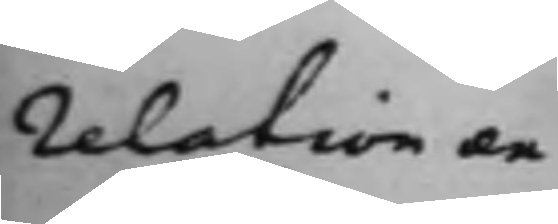relation ex¬
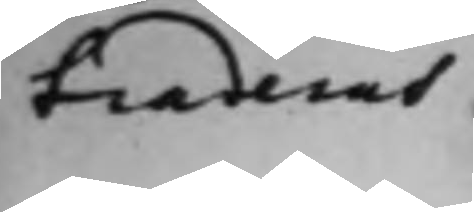traderas
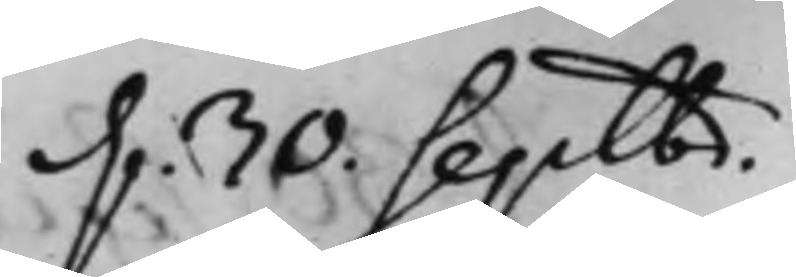d. 30. Septbr.
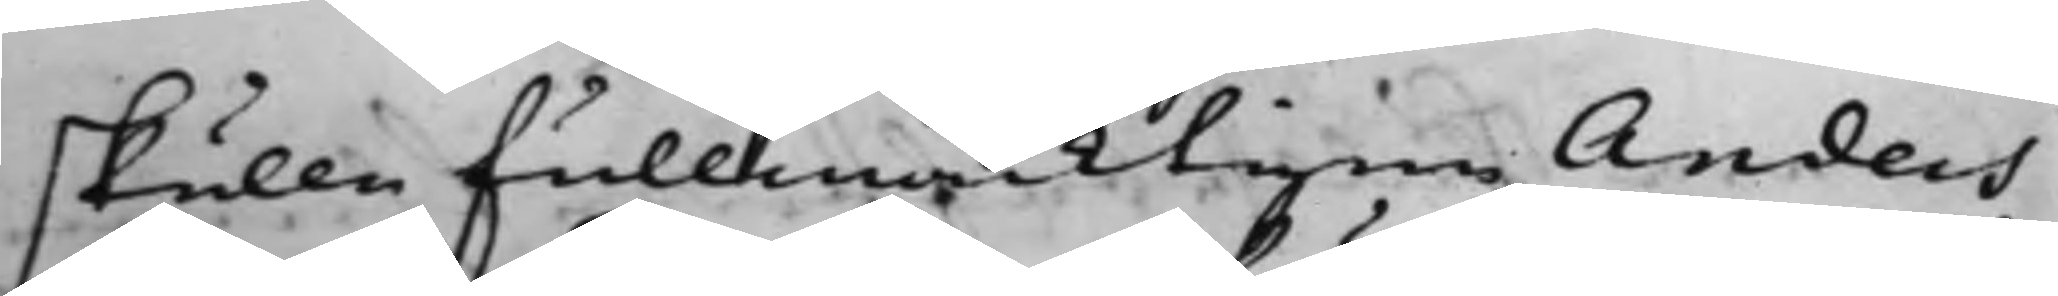skulle fullmäcktigen Anders
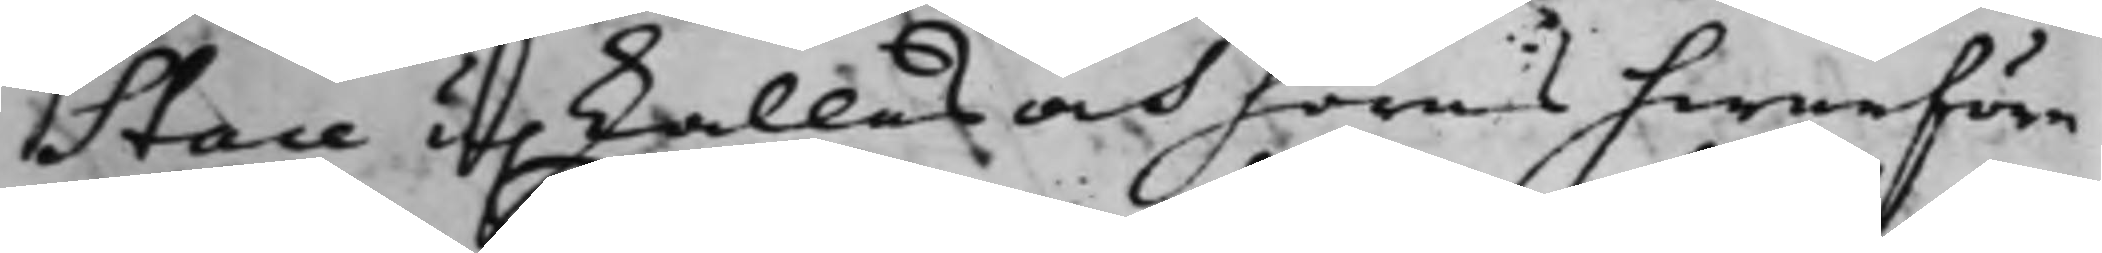Stare upkallas och höras hwarföre
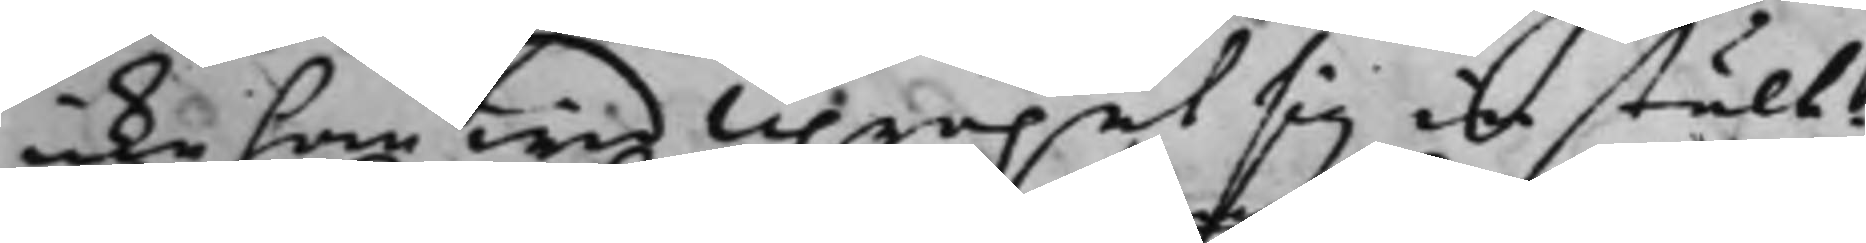icke han wid Upropet sig instält.
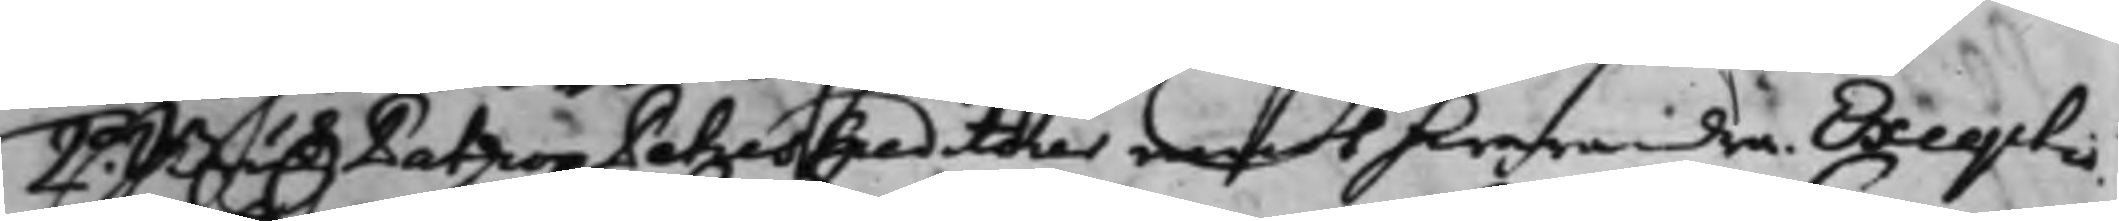2.o BrukzPatrion Petres Creditorer emot hwarandra. Excerptio
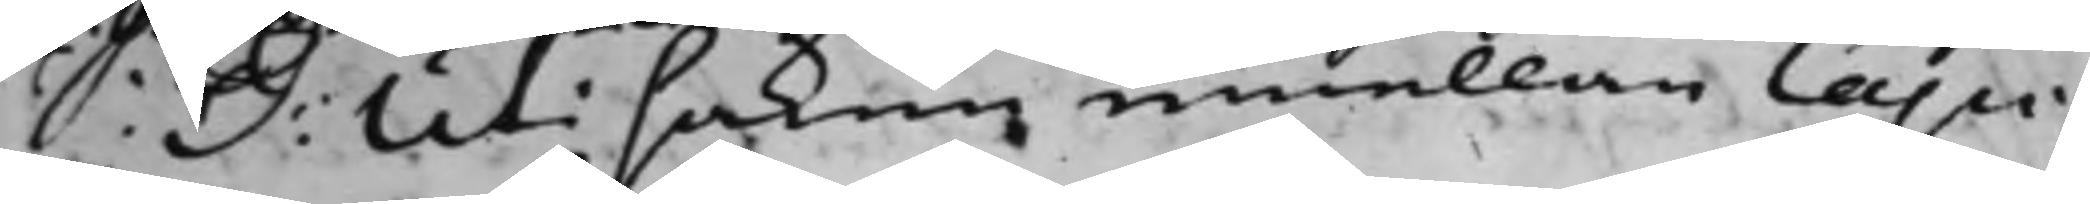S: D: Uti saken emellan Capi¬
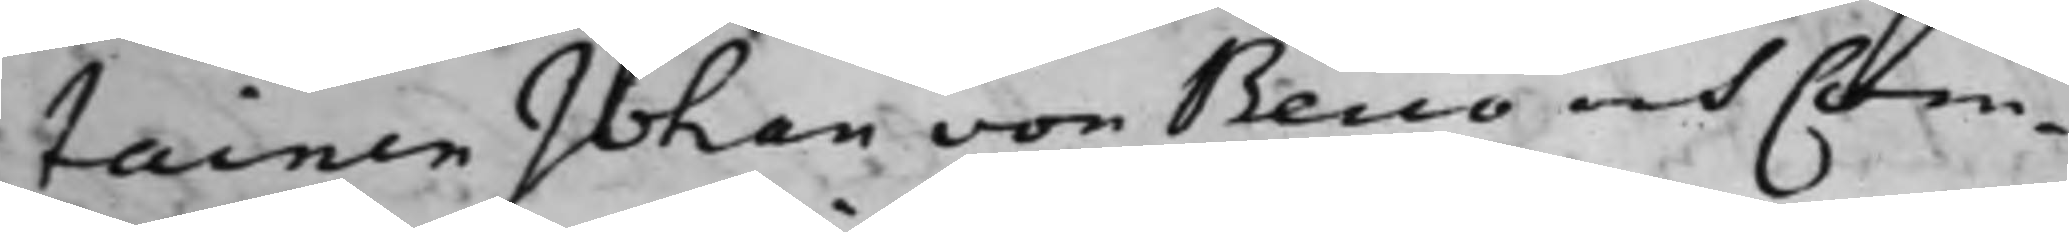tainen Johan von Berco och Com¬
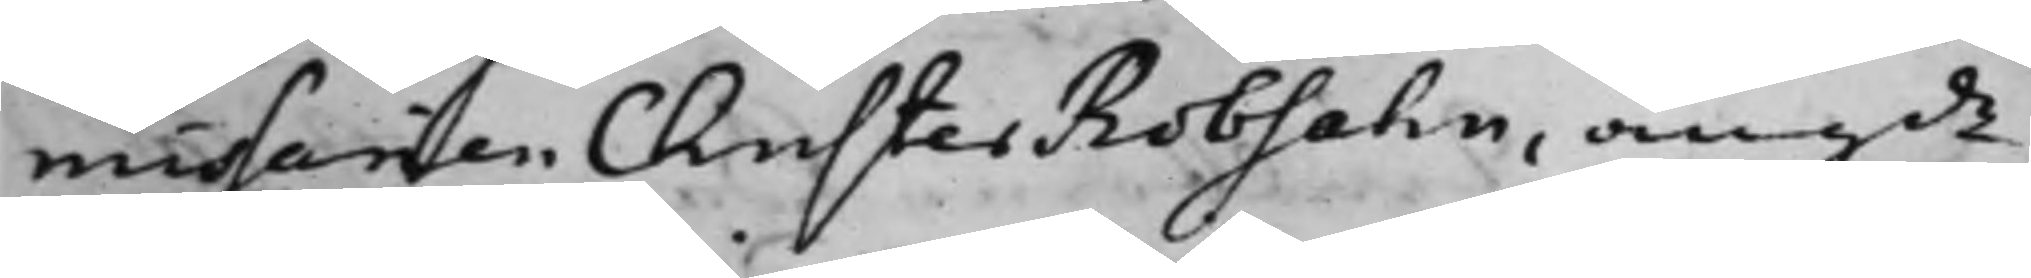missarien Christer Robsahn, angde
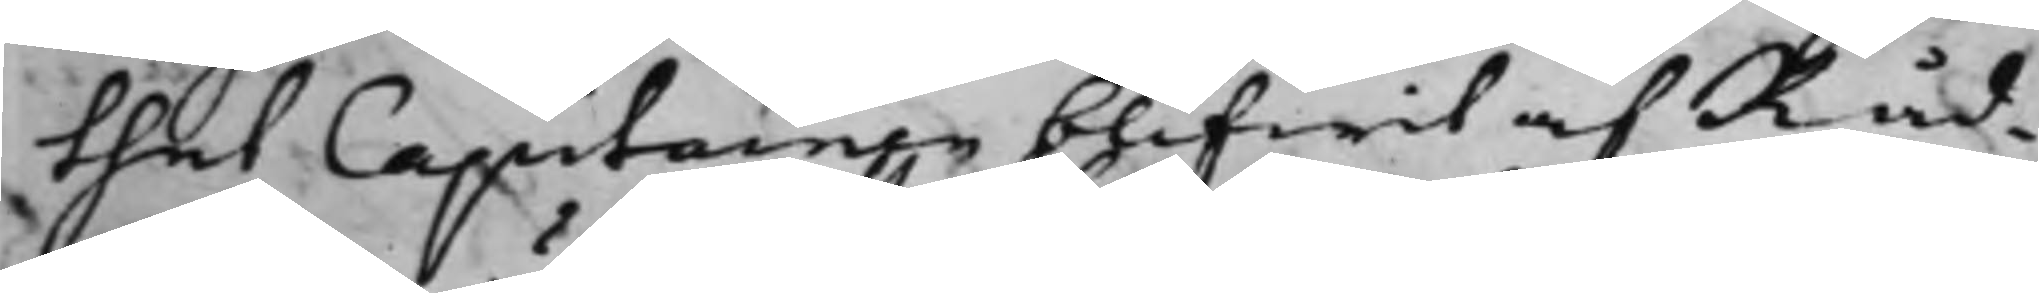thet Capitainen blifwit af Råd¬
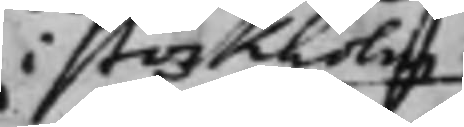i Stockholm
